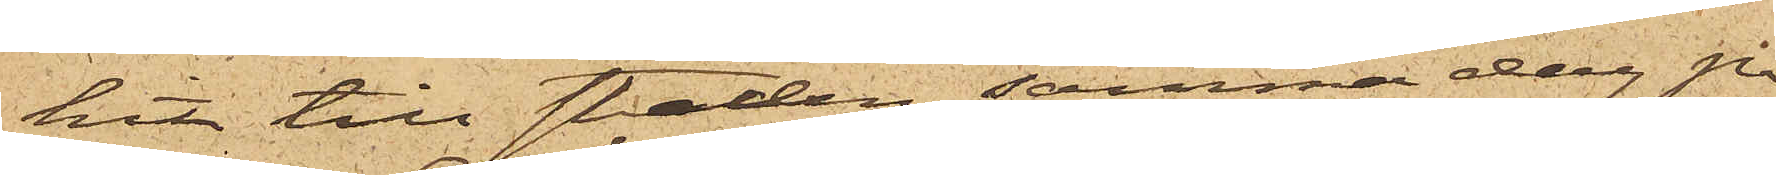hit till staden, samma dag på
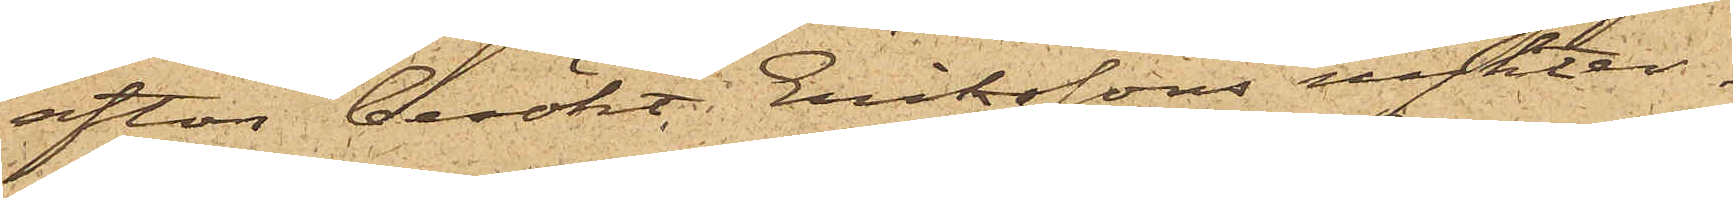afton besökt Erikssons nykter¬
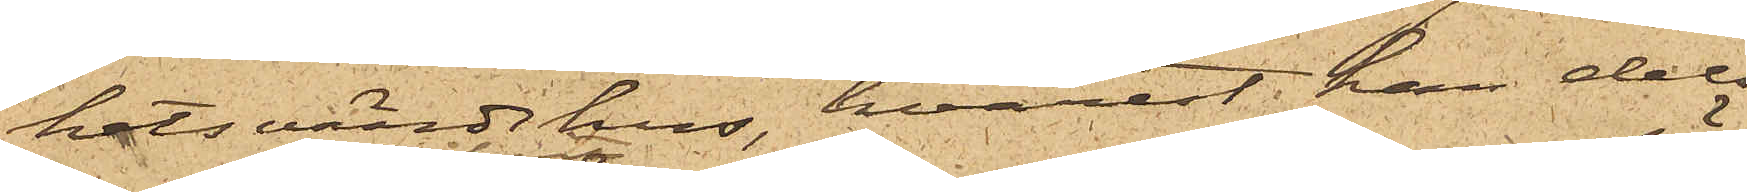hetsvärdshus, hvarest han dels
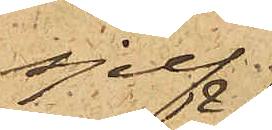sjelf
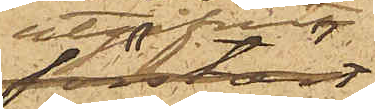utgifvit
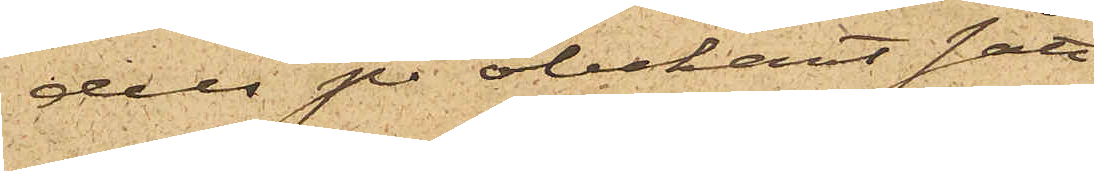dels på obekant sätt
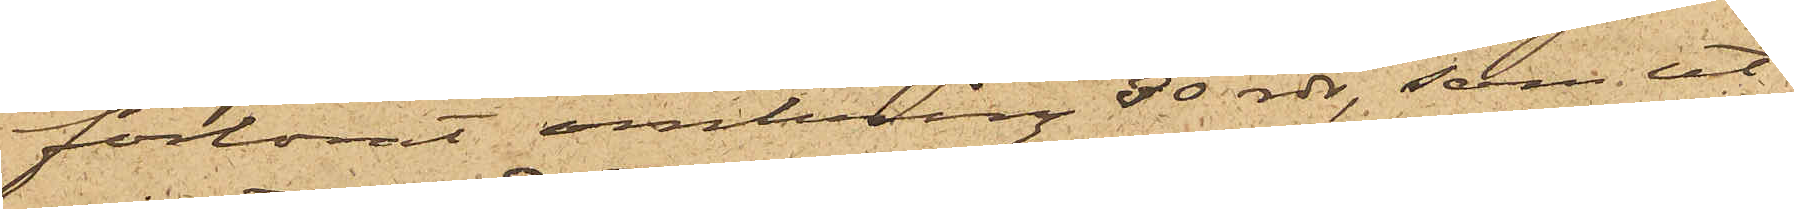förlorat omkring 30 rdr, som ut¬
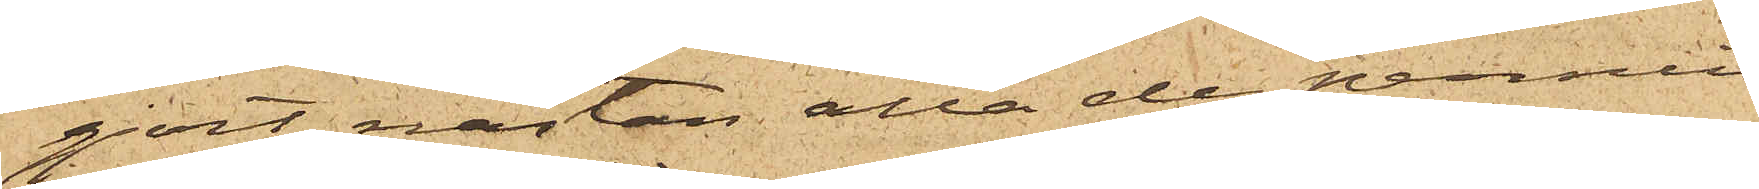gjort nästan alla de pennin¬
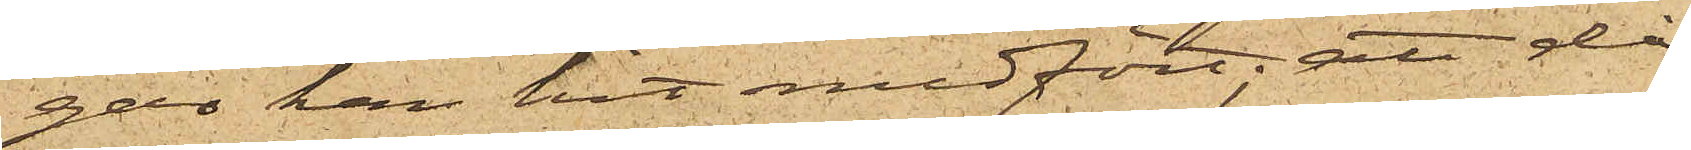gar han hit medfört; att då
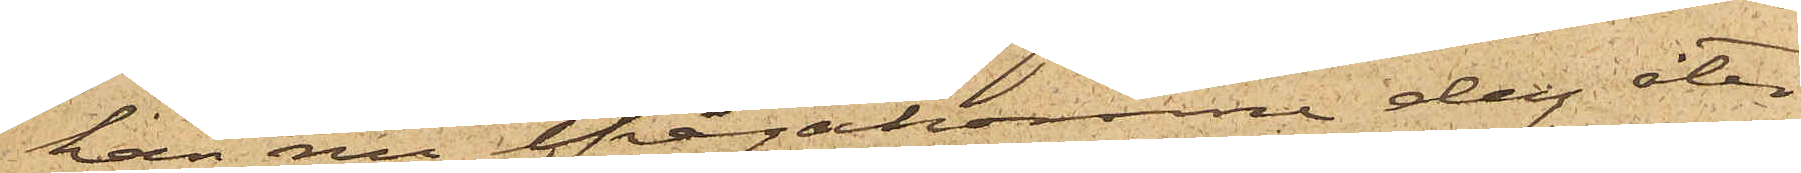han nu ifrågakomne dag åter
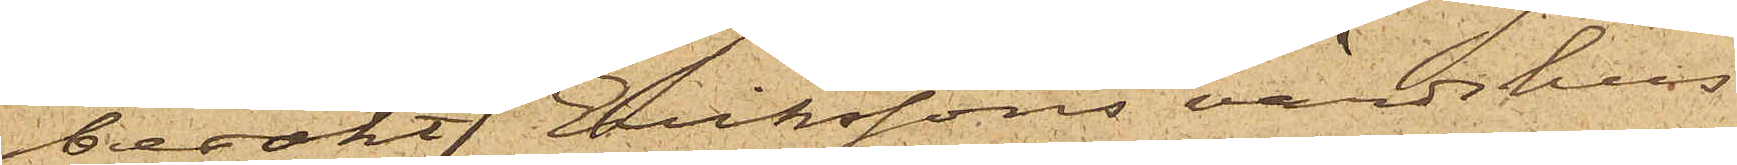besökt Erikssons värdshus
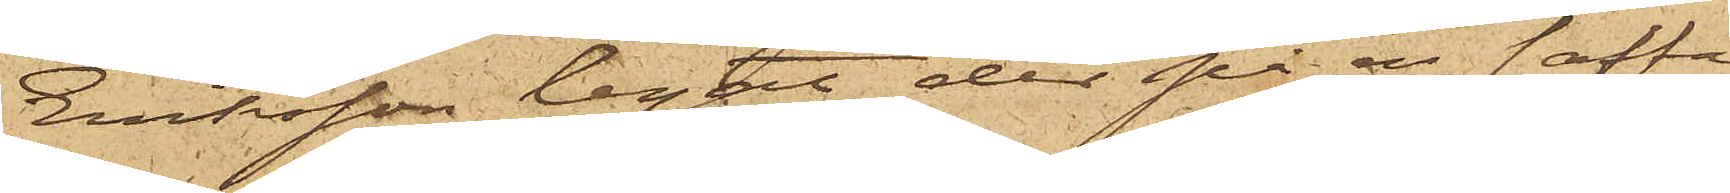Eriksson legat der på en soffa
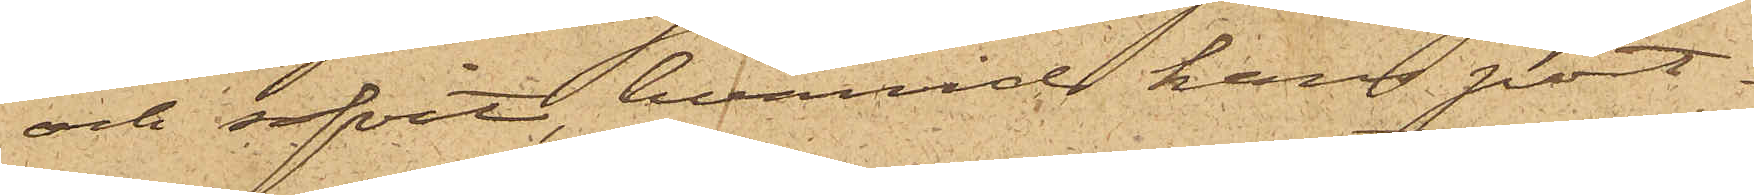och sofvit, hvarvid hans port¬
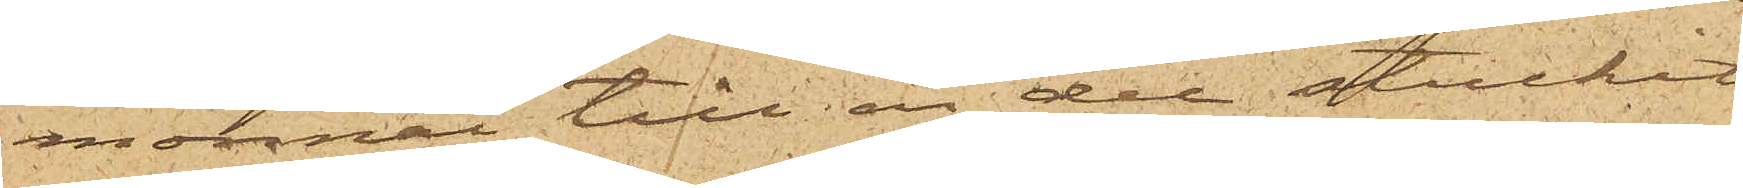monnai till en del stuckit
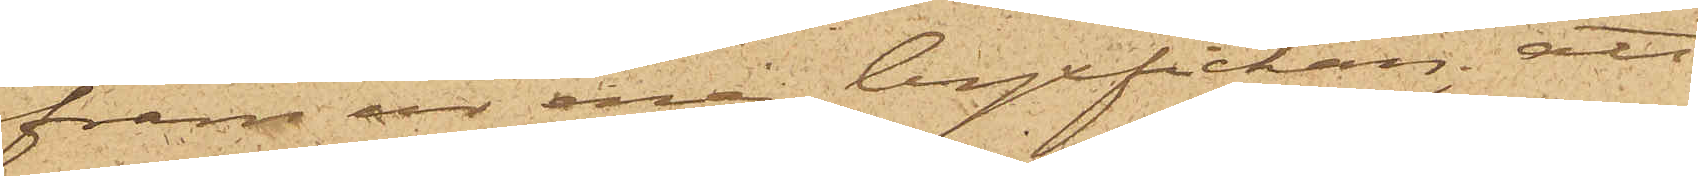fram ur ena byxfickan; att
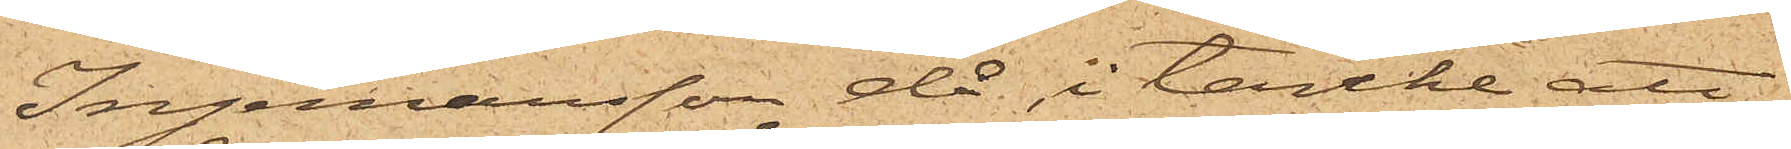Ingemansson då, i tanke att
